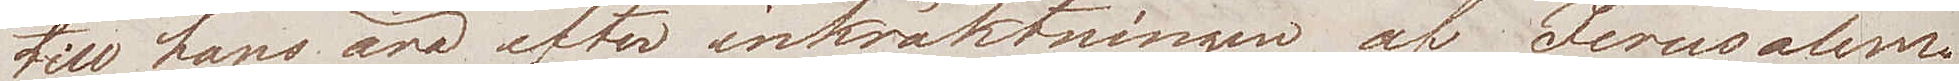till hans ära efter inkräktningen af Jerusalem.
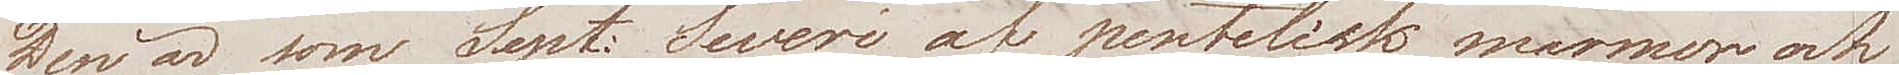Den är som Sept. Severi af pentelisk marmor och
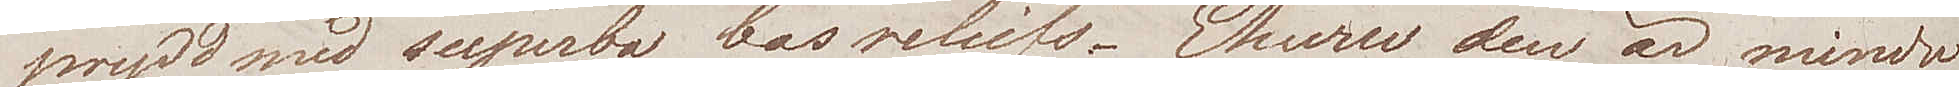prydd med superba basreliefs. Ehuru den är mindre
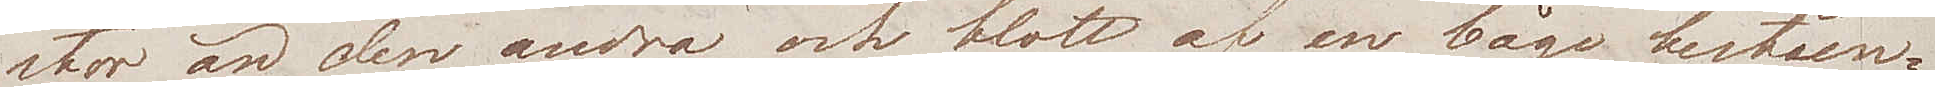stor än den andra och blott af en båge beståen¬
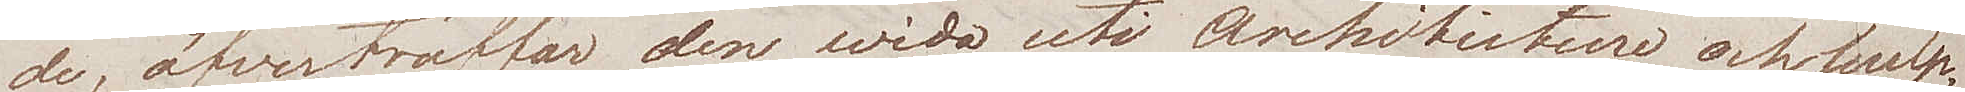de, öfverträffas den wida uti architecture och sculp¬
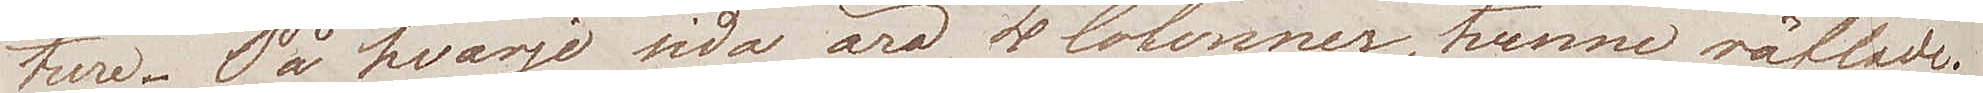ture. På hvarje sida äro 4 Colonner, tvenne räfflade.
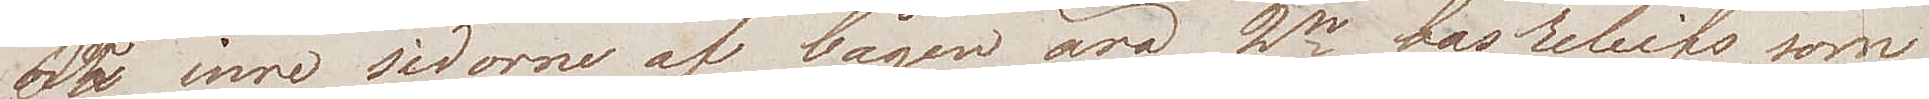De inre sidorne af bågen äro 2ne basreliefs som
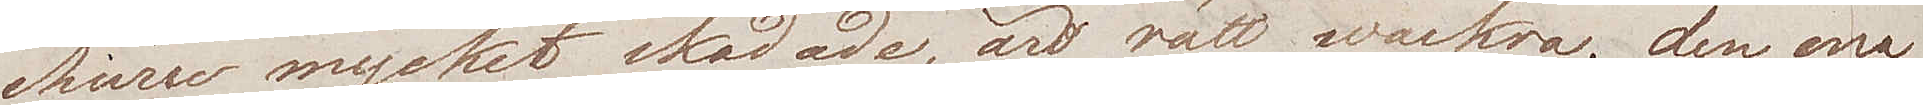ehuru mycket skadade, äro rätt wackra; den ena
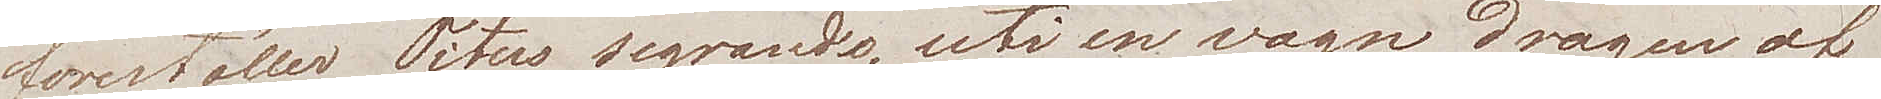föreställer Titus segrande, uti en vagn dragen af
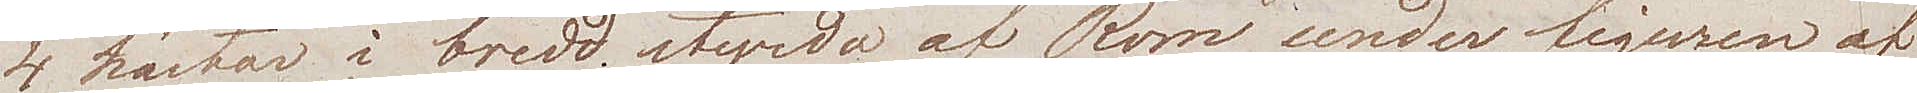4 hästar i bredd styrda af Rom under figuren af
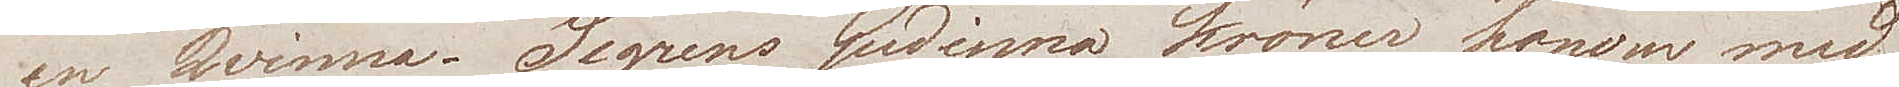en Qvinna. Segrens Gudinna kröner honom med
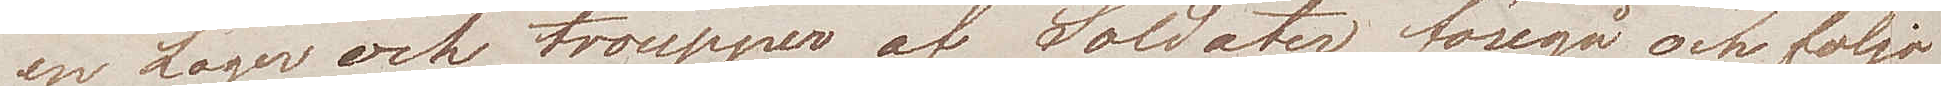en Lager och troupper af Soldater föregå och följa
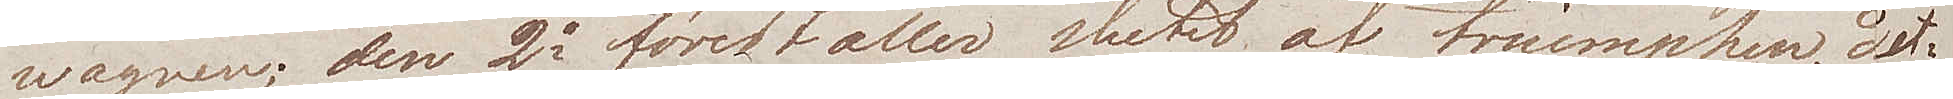wagnen; den 2a föreställer slutet af triumphen, det
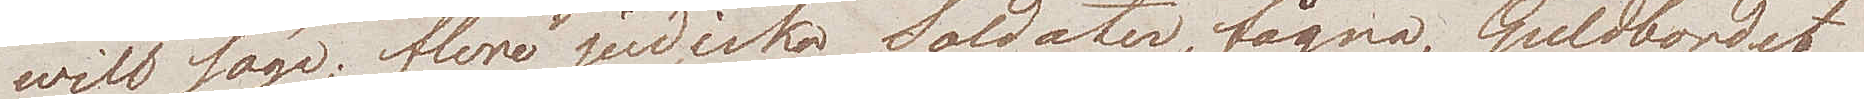will säga; flere judiska Soldater, fågna, Guldbordet
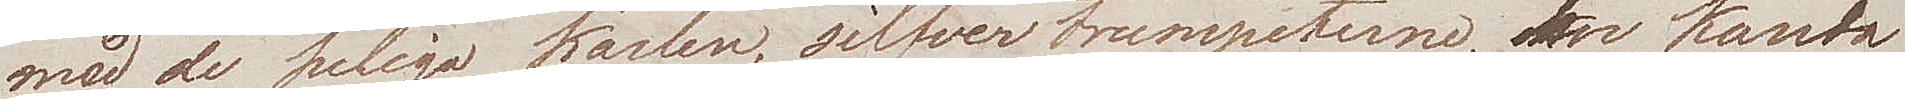med de heliga kärlen, silfvertrumpeterne en kande¬
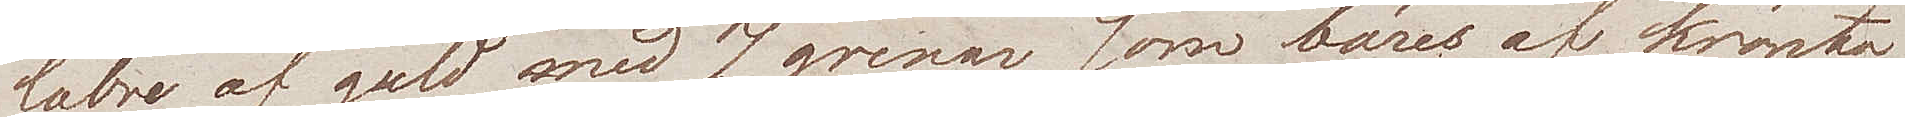labre af guld med 7 grenar, som bäres af krönta
